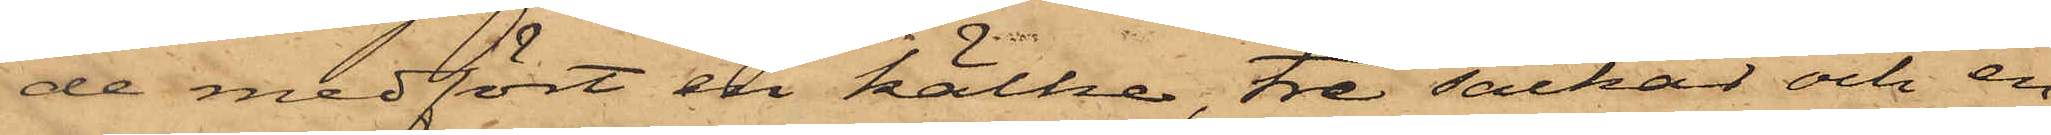de medfört en kälke, tre säckar och en
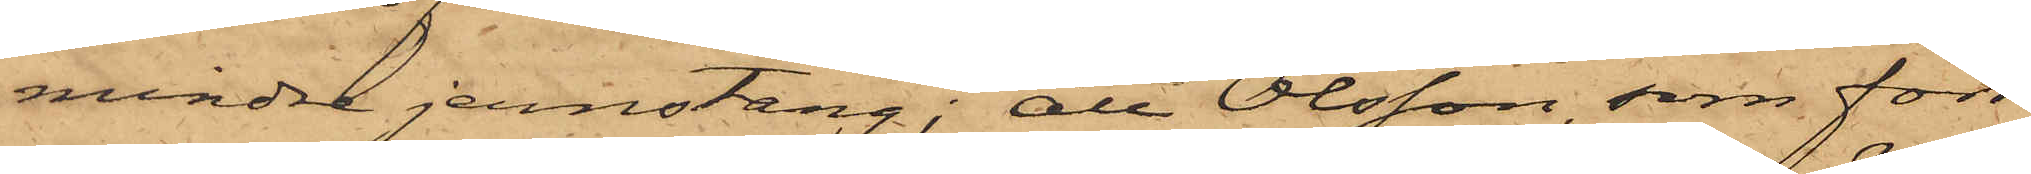mindre jernstång; att Olsson, som förr
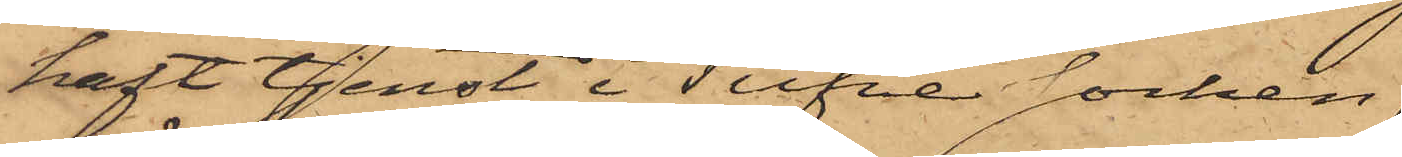haft tjenst i Tufve socken,
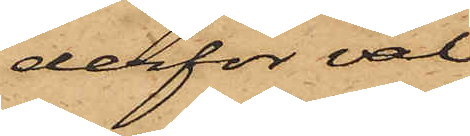derför väl
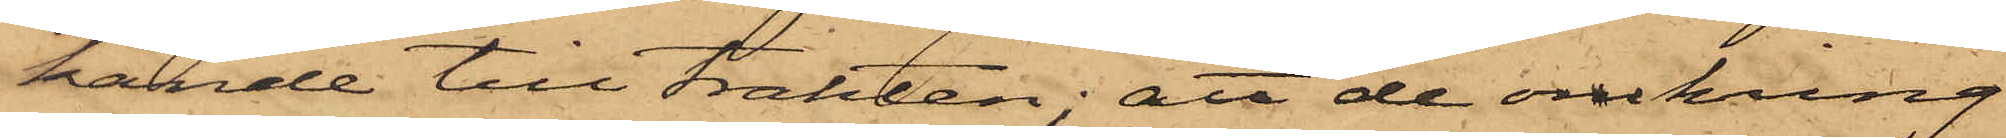kände till trakten; att de omkring
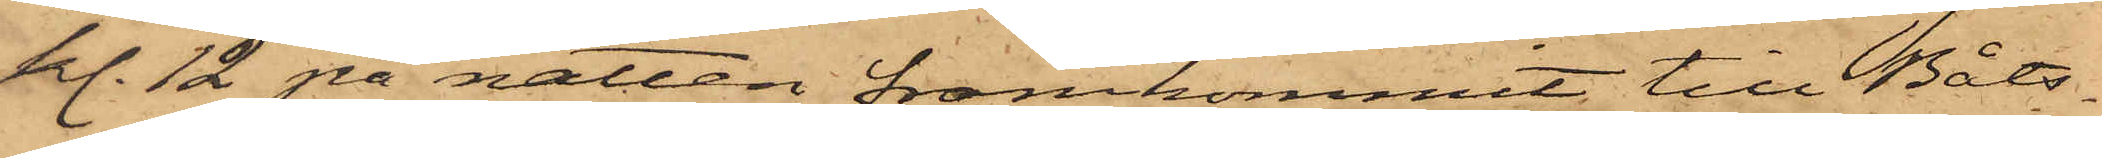kl. 12 på natten framkommit till Båts¬
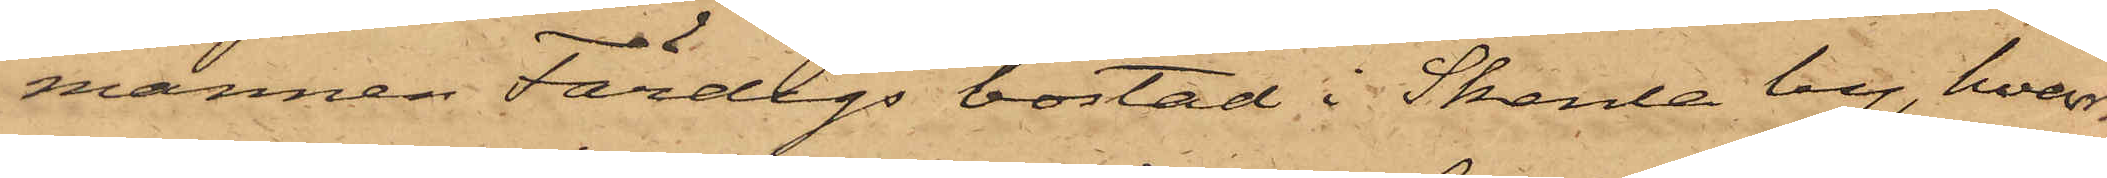mannen Färdigs bostad i Skenla by, hvar¬
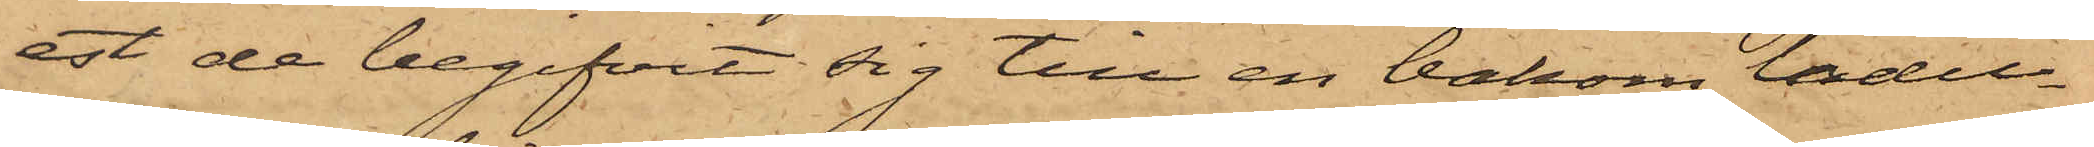est de begifvit sig till en bakom ladu¬
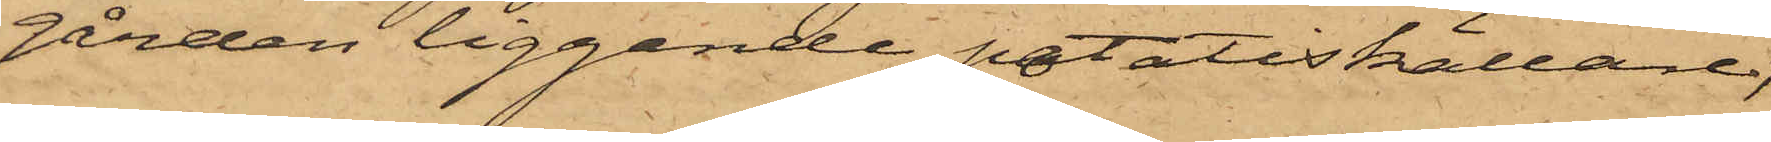gården liggande potatiskällare;
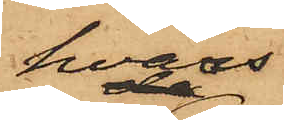hvars
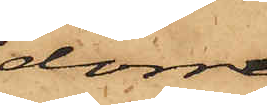dörr
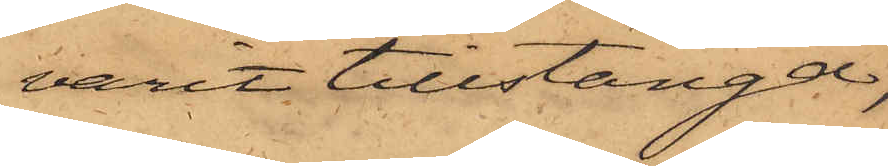varit tillstängd,
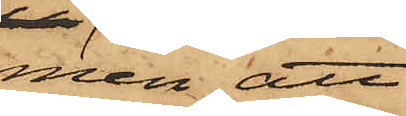men att
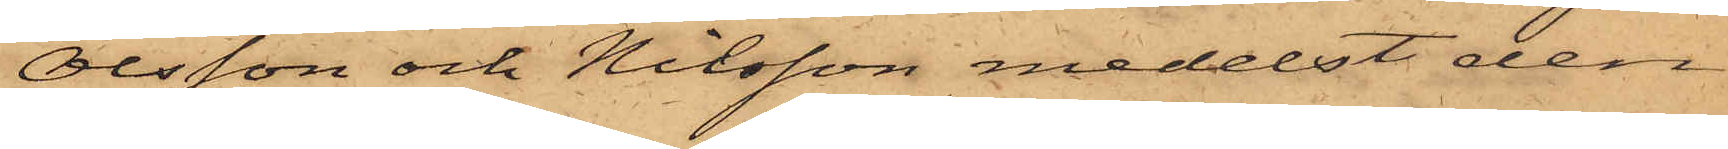Olsson och Nilsson medelst den
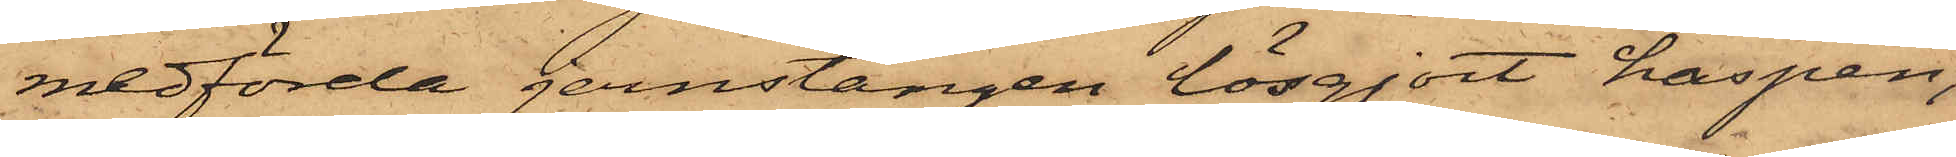medförda jernstången lösgjort haspen,
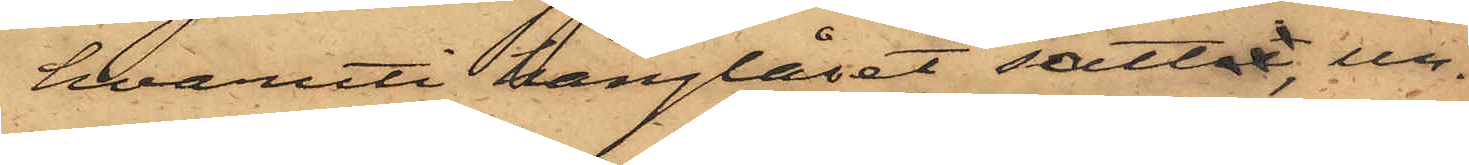hvaruti hänglåset sattat, un¬
